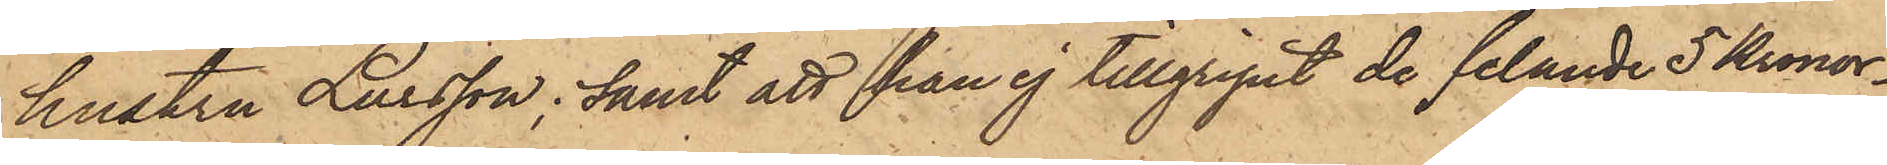hustru Larsson; samt att han ej tillgripit de felande 5 Kronor¬
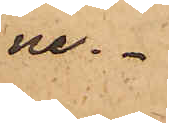ne.
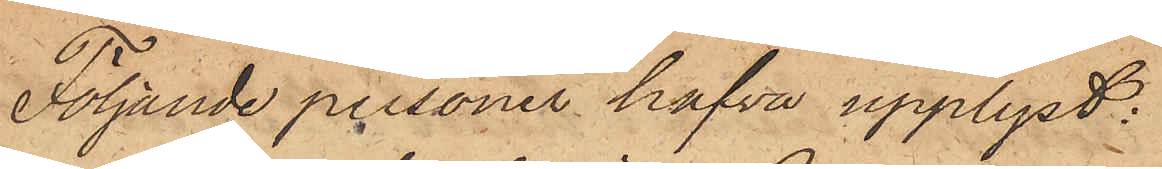Följande personer hafva upplyst:
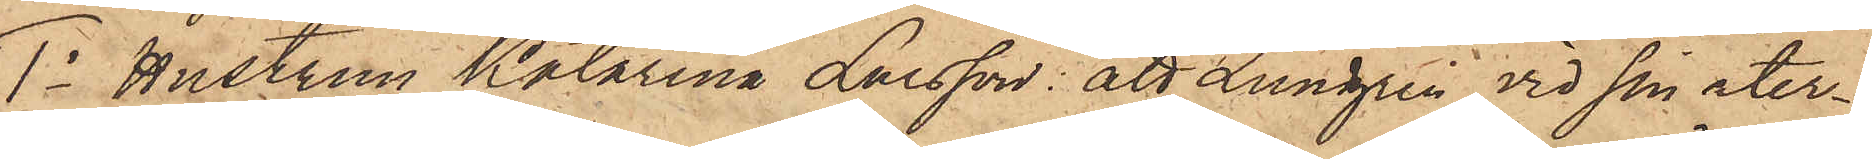1o Hustrun Katarina Larsson: att Lundgren vid sin åter¬
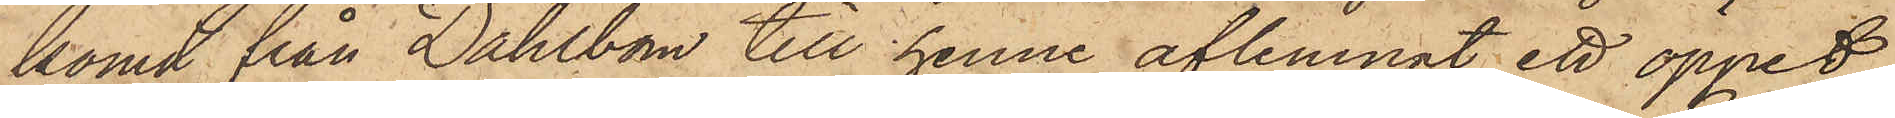komst från Dahlbom till henne aflemnat ett öppet
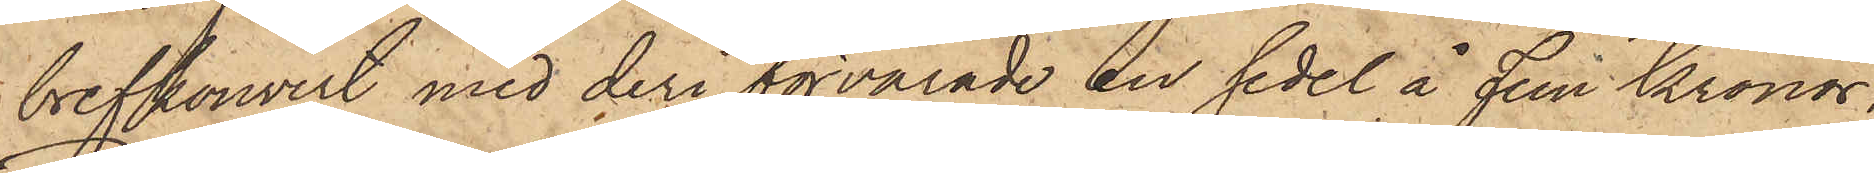brefkouvert med deri förvarade en sedel å Fem Kronor.
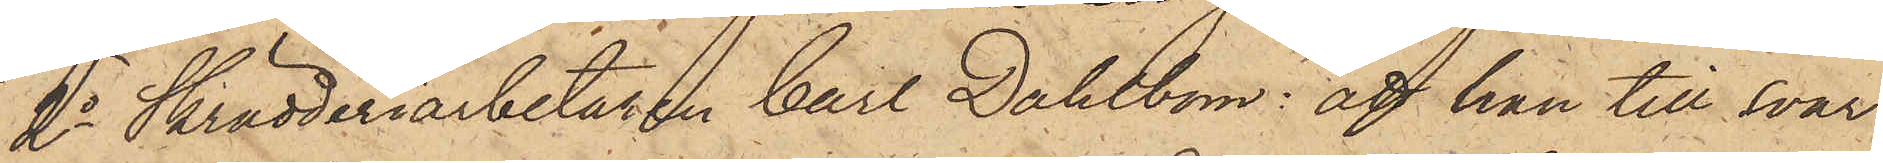2o Skrädderiarbetaren Carl Dahlbom: att han till svar
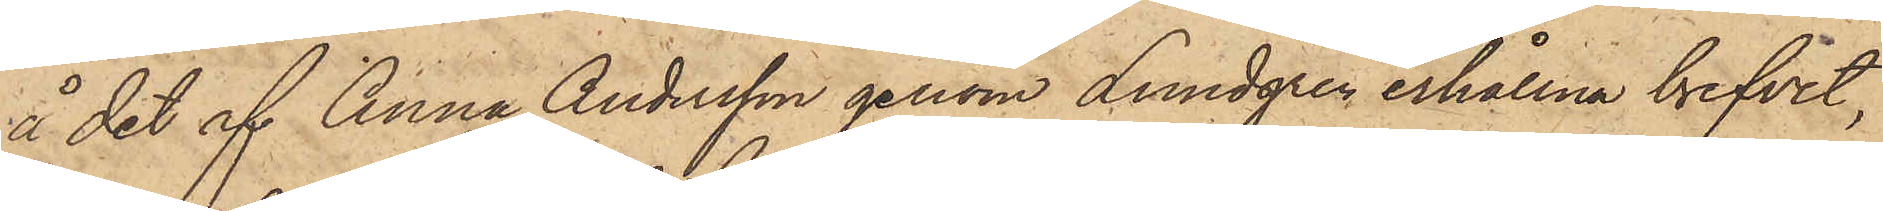å det af Anna Andersson genom Lundgren erhållna brefvet,
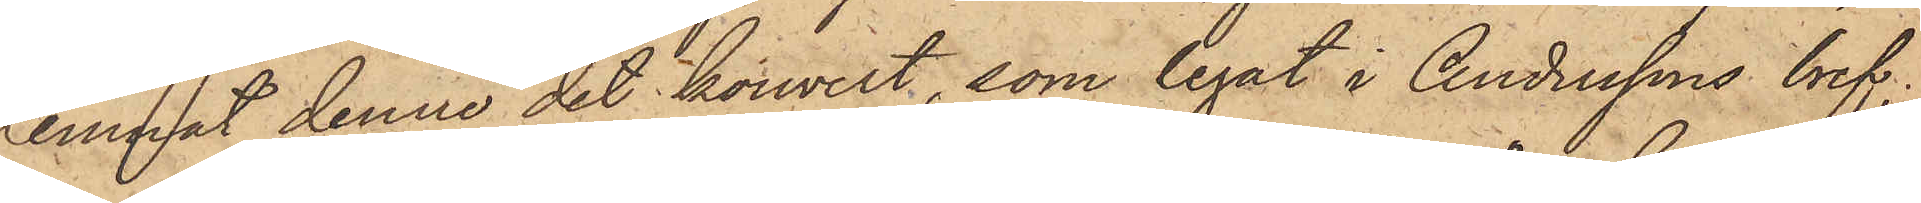lemnat denne det kouvert, som legat i Anderssons bref;
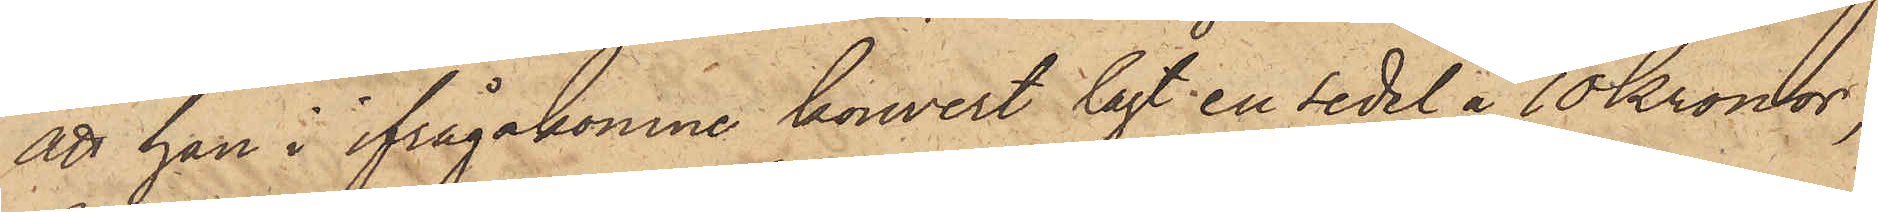att han i ifrågakomne kouvert lagt en sedel å 10 Kronor,
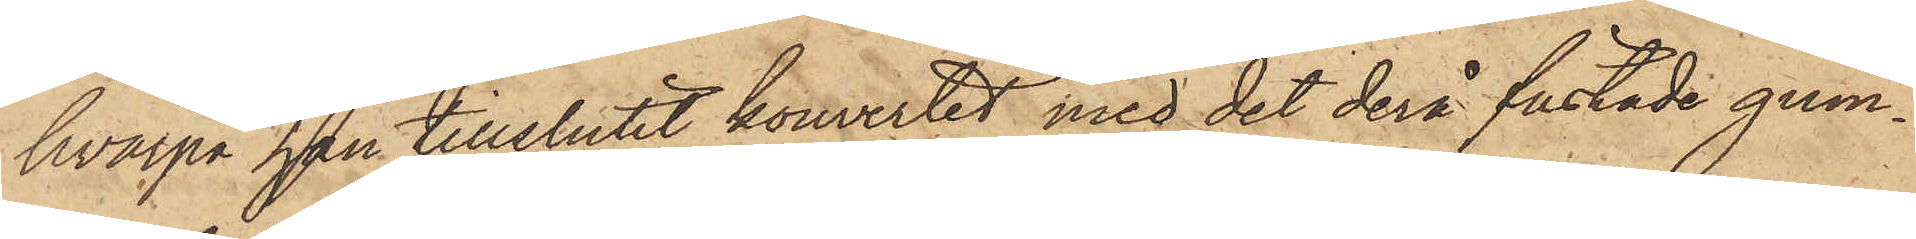hvarpå han tillslutit kouvertet med det derå fästade gum¬
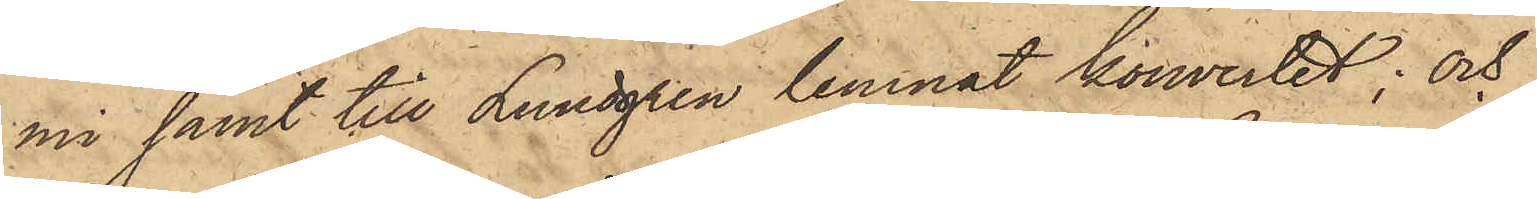mi samt till Lundgren lemnat kouvertet; och
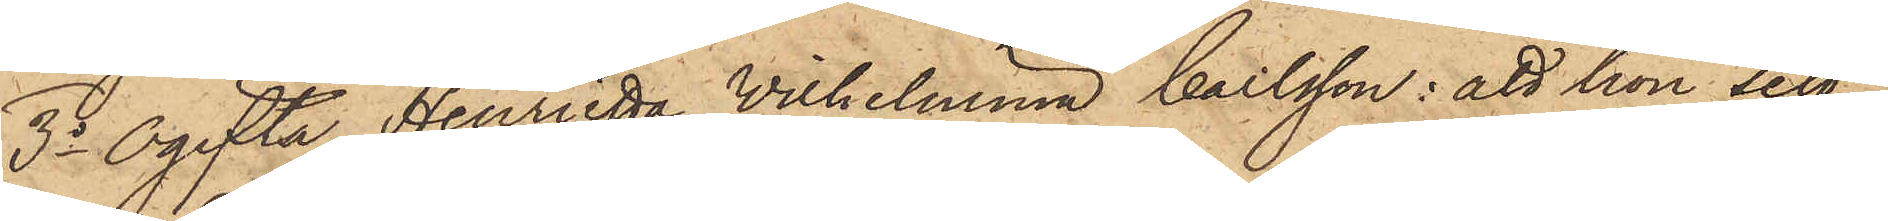3o Ogifta Henrietta Vilhelmina Carlsson: att hon sett
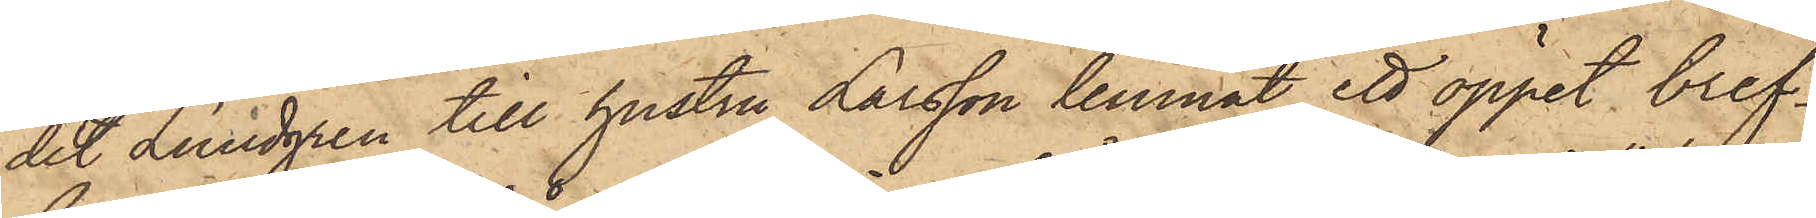det Lundgren till hustru Larsson lemnat ett öppet bref¬
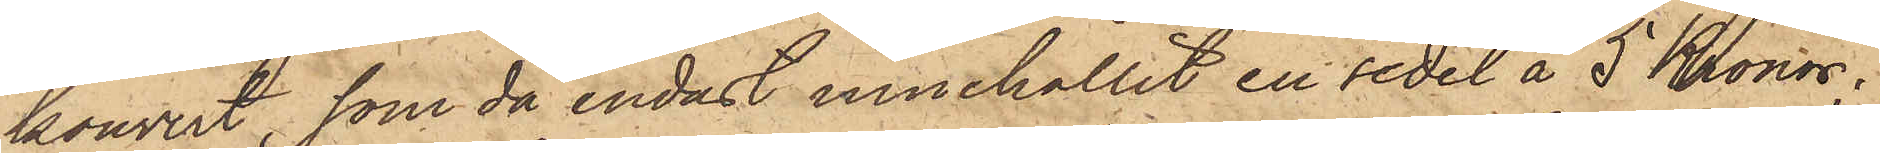kouvert, som då endast innehållit en sedel å 5 Kronor;
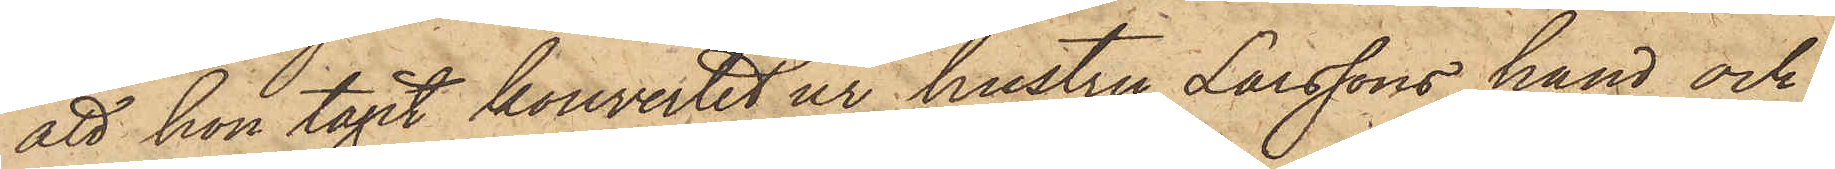att hon tagit kouvertet ur hustru Larssons hand och
